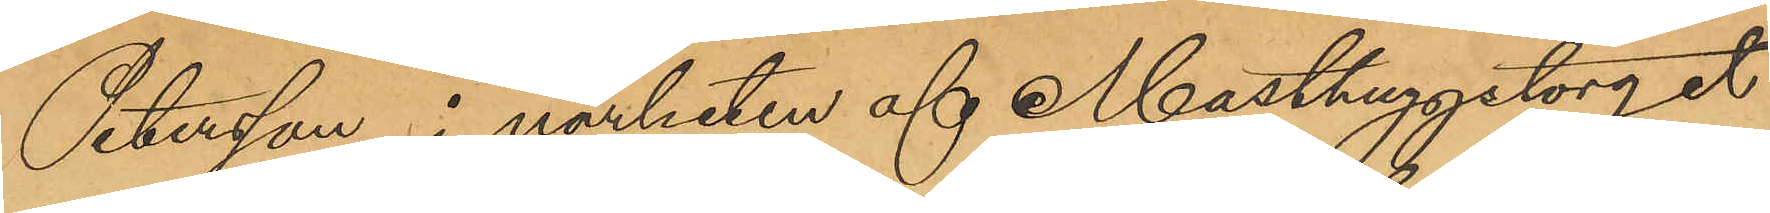Petersson i närheten af Masthuggstorget
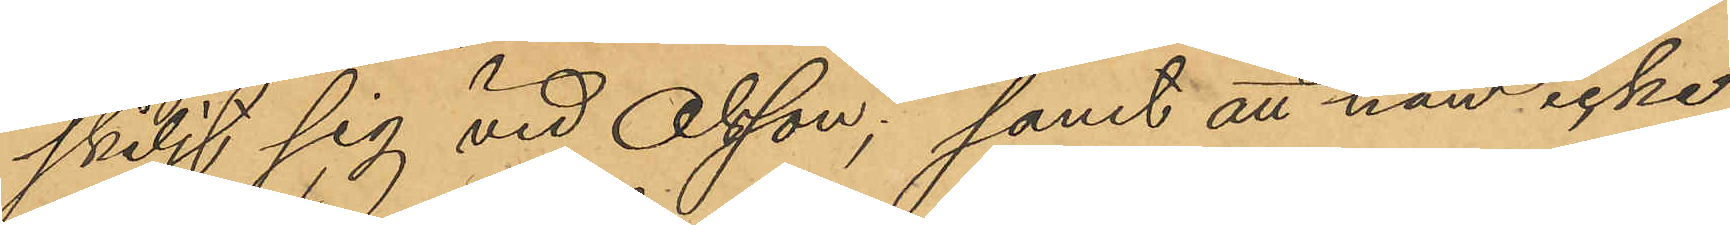skiljt sig vid Olsson; samt att han icke
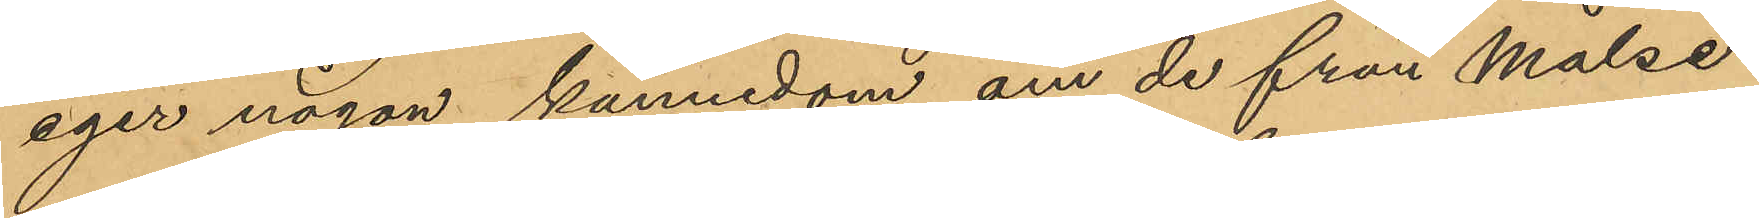eger någon kännedom om de från Målse¬
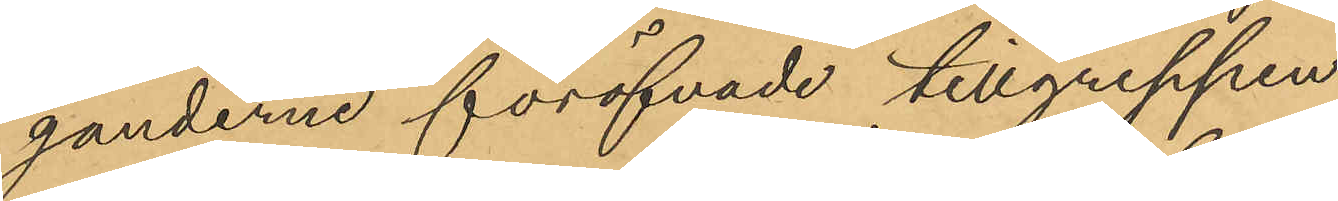ganderne föröfvade tillgreppen.
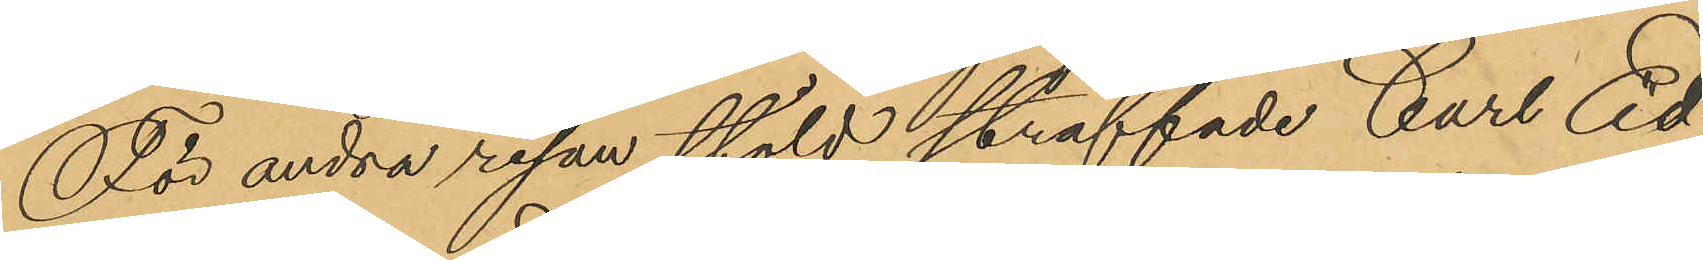För andra resan stöld straffade Carl Ed¬
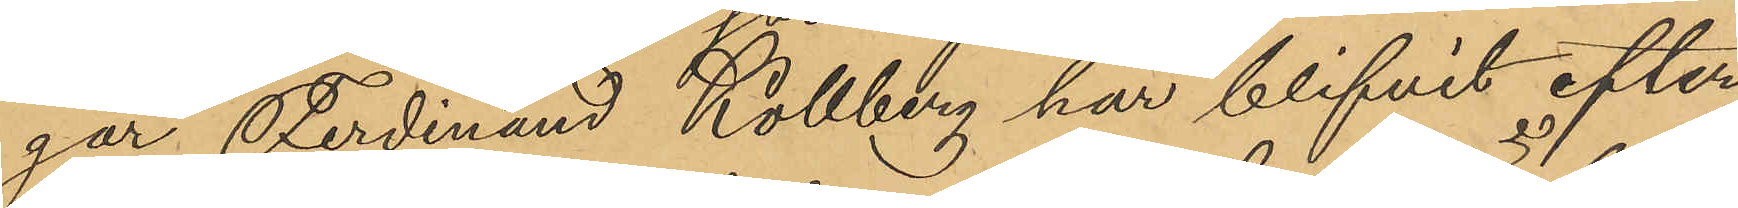gar Ferdinand Kollberg har blifvit efter¬
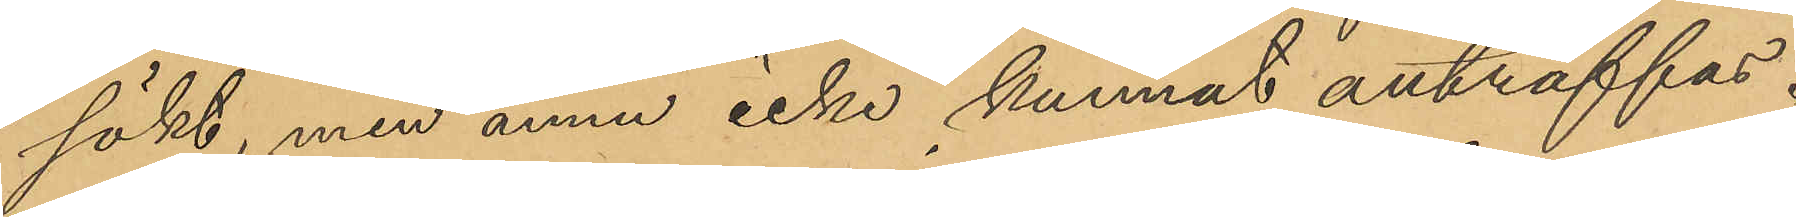sökt, men ännu icke kunnat anträffas.
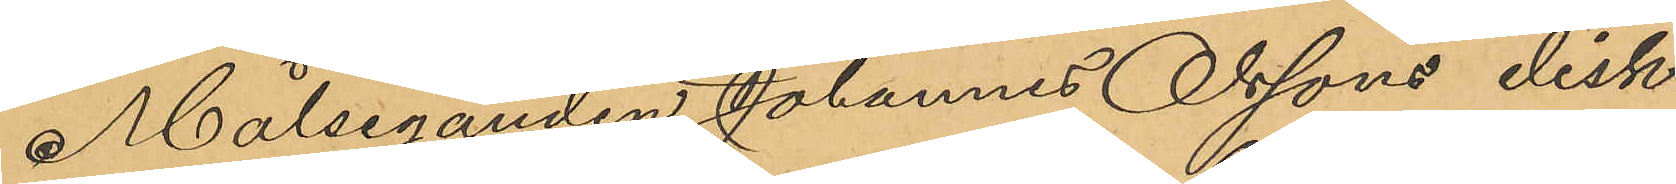Målseganden Johannes Olssons disk¬
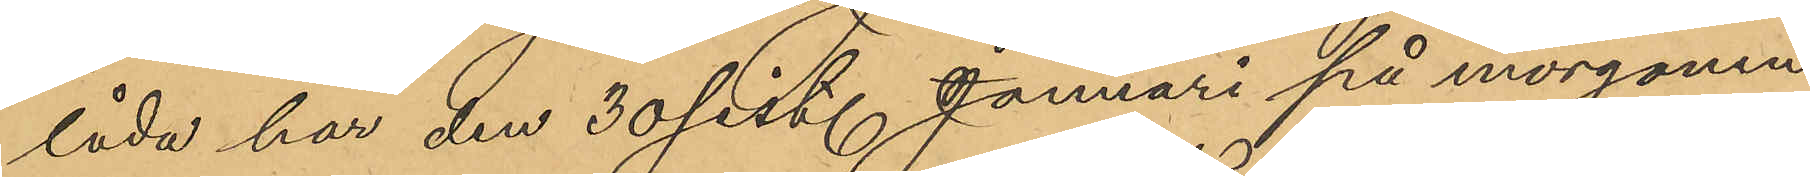låda har den 30 sist. Januari på morgonen
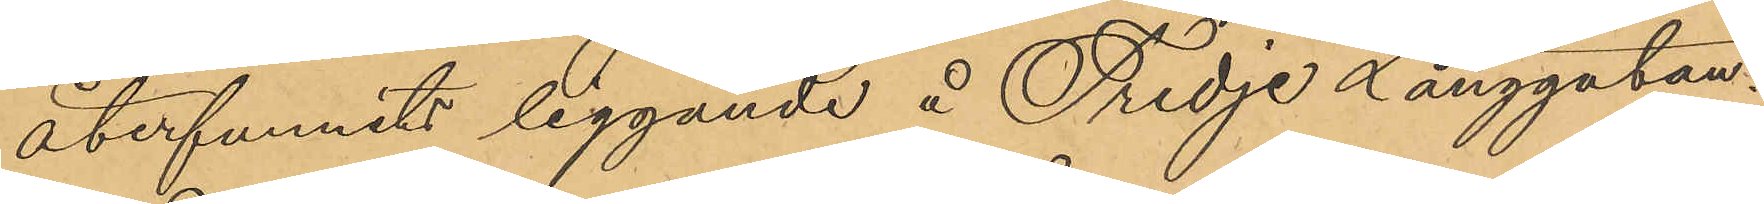återfunnits liggande å Tredje Långgatan.
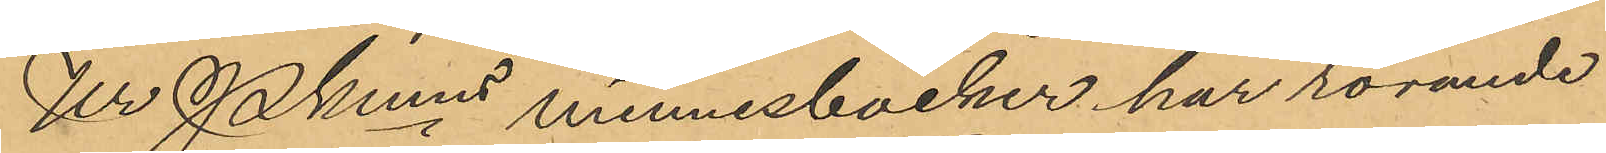Ur Pkmns minnesböcker har rörande
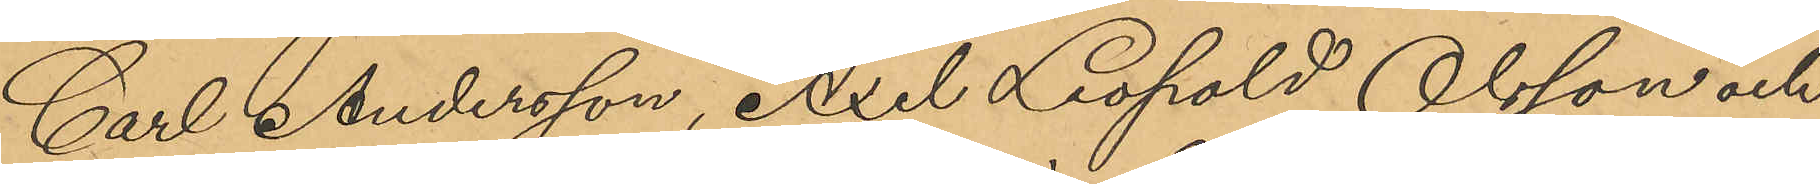Carl Andersson, Axel Leopald Olsson och
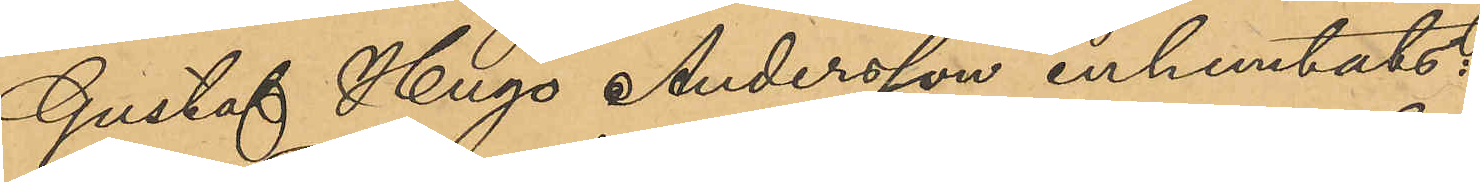Gustaf Hugo Andersson inhemtats:
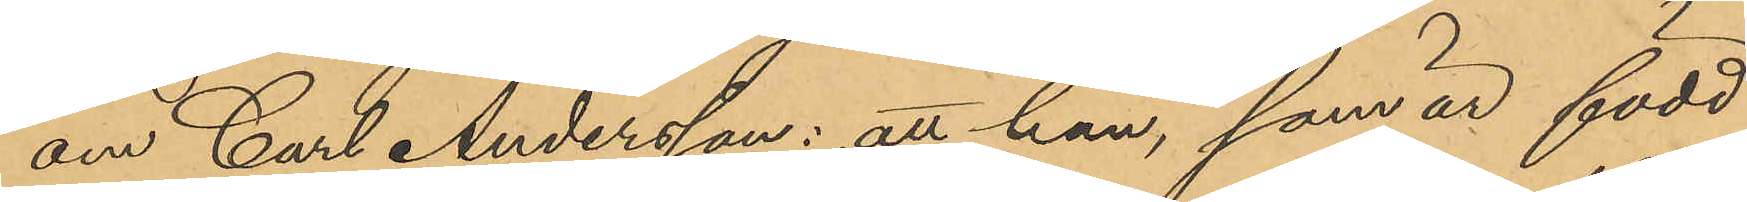om Carl Andersson: att han, som är född
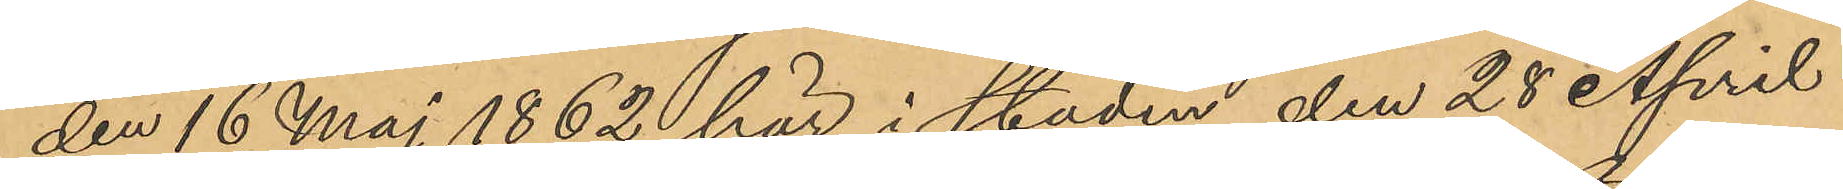den 16 Maj 1862 här i staden, den 28 April
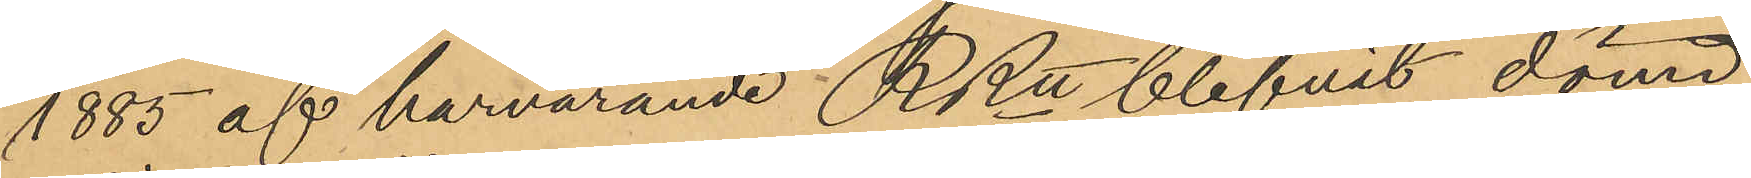1885 af härvarande RRtt blifvit dömd
